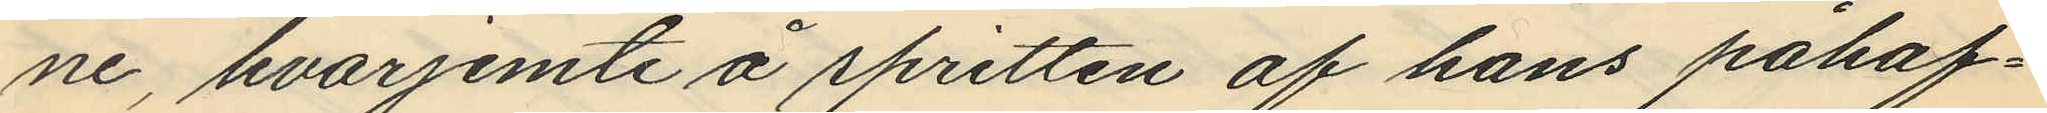ne, hvarjemte å spritten af hans påhaf¬
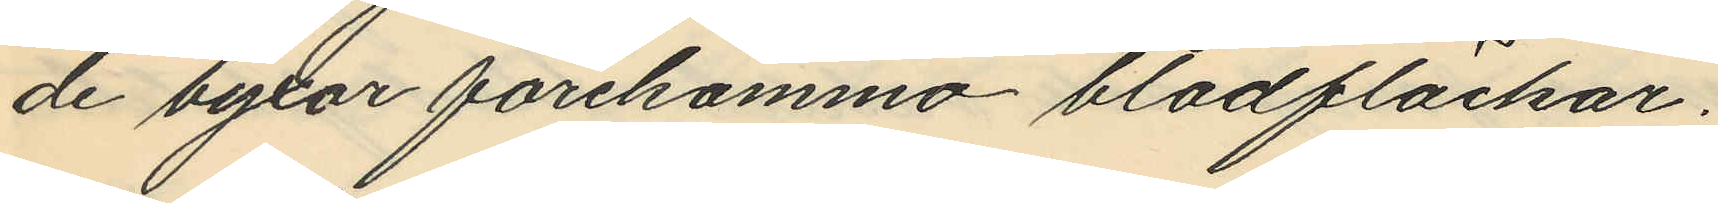de byxor förekomma blodfläckar.
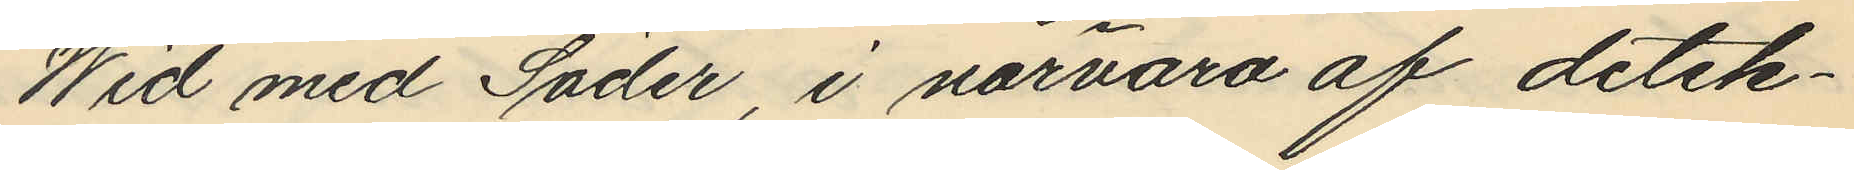Wid med Söder, i närvaro af detek¬
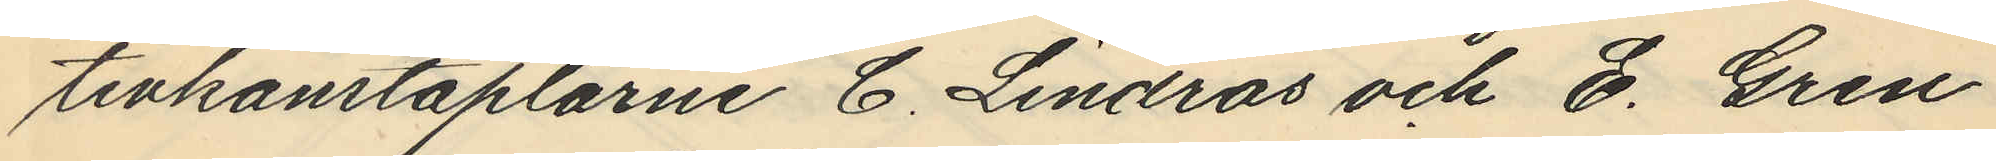tivkonstaplarne C. Lindros och E. Gren
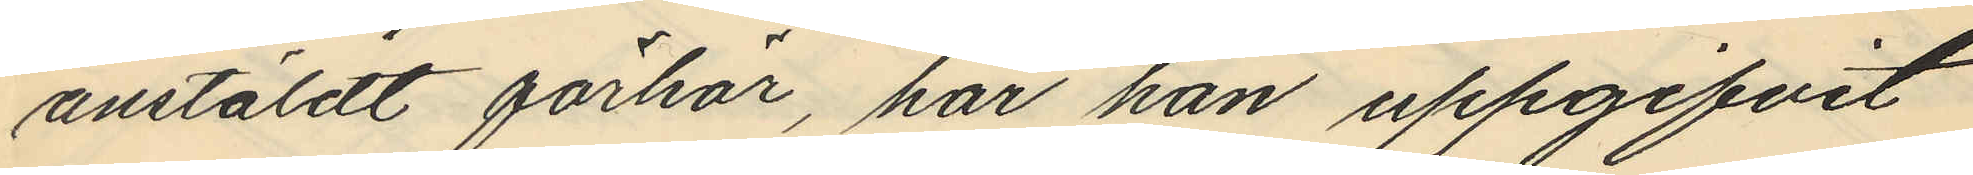anstäldt förhör, har han uppgifvit
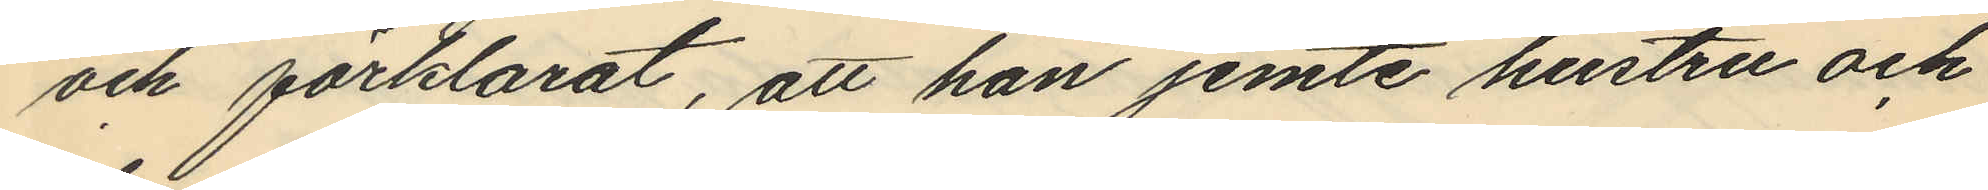och förklarat, att han jemte hustru och
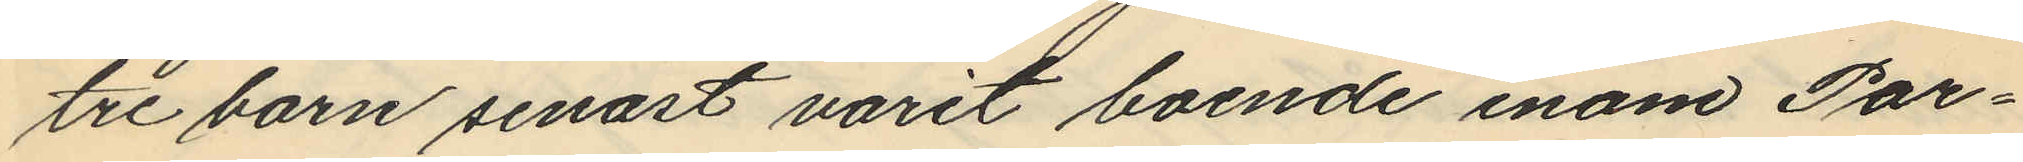tre barn senast varit boende inom Par¬
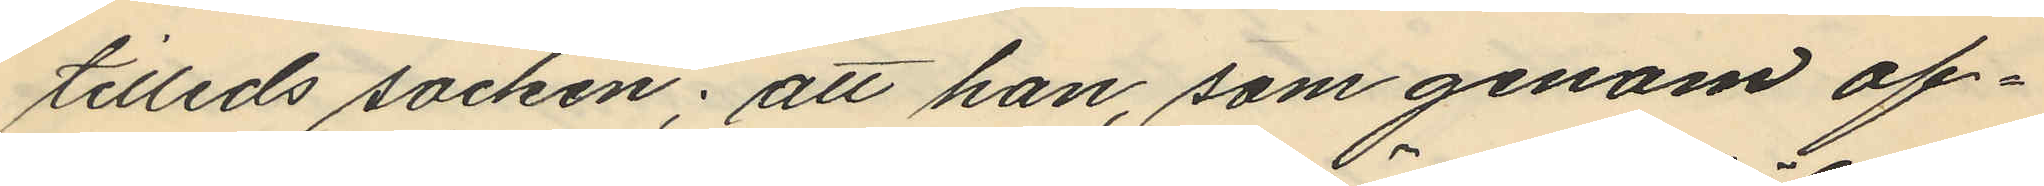tilleds socken; att han, som genom of¬
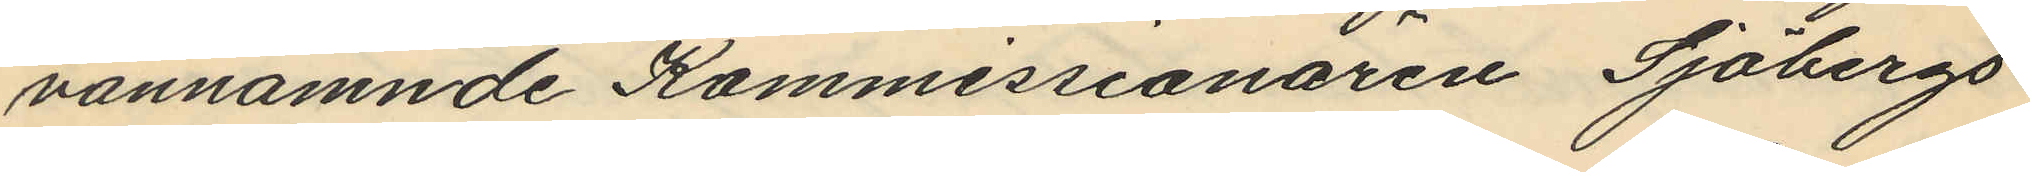vannämnde Kommissionären Sjöbergs
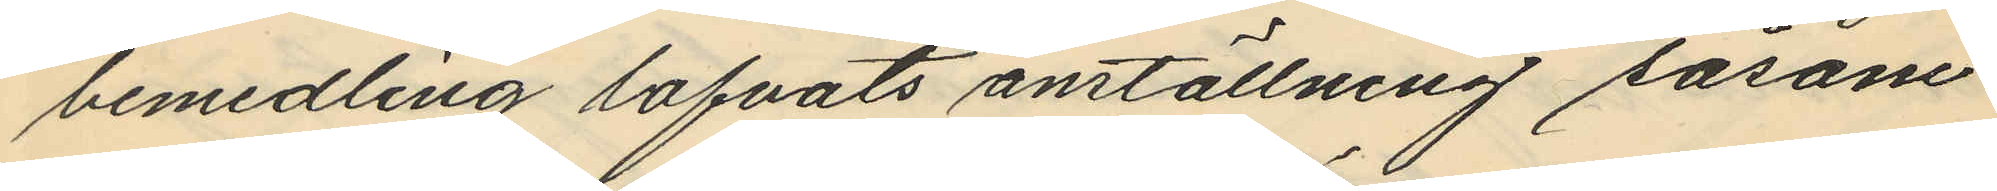bemedling lofvats anställning såsom
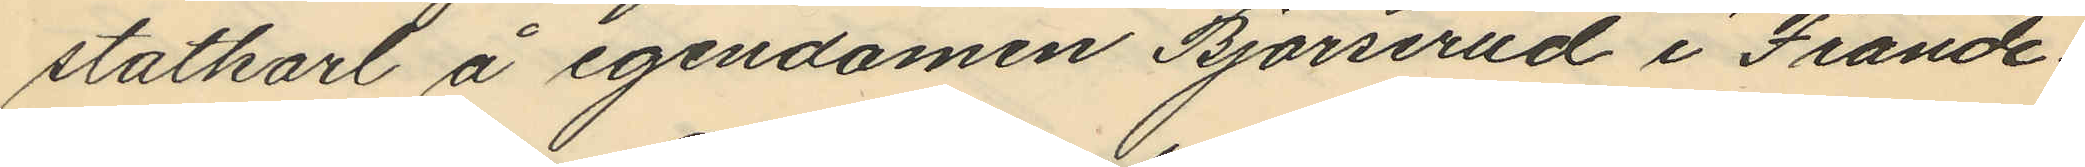statkarl å egendomen Björserud i Frände¬
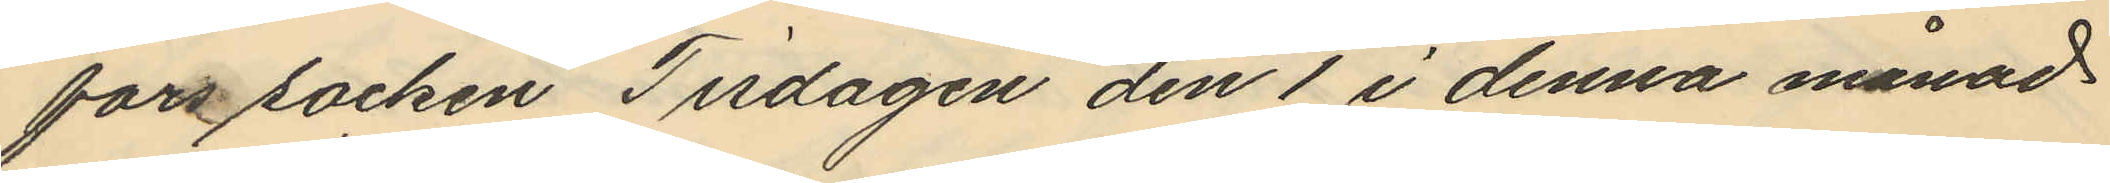fors socken Tisdagen den 1 i denna månad
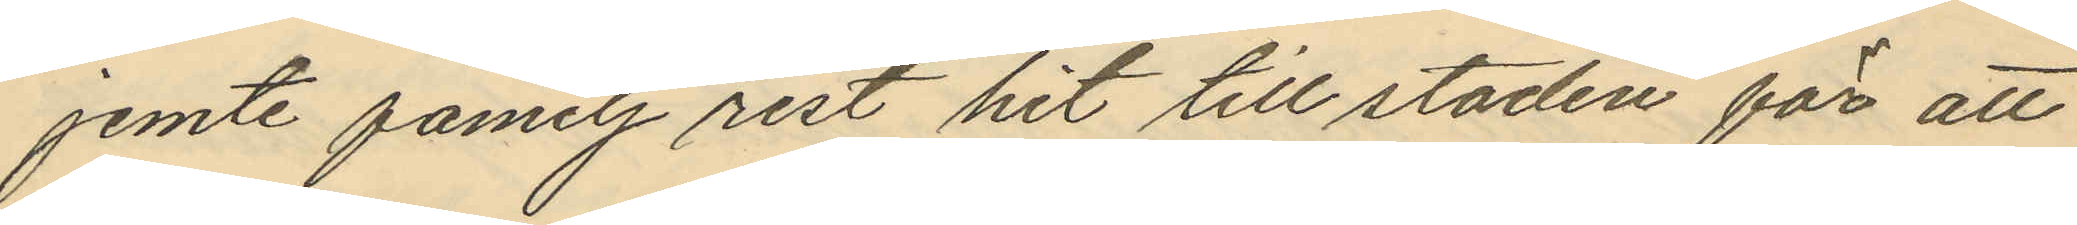jemte familj rest hit till staden för att
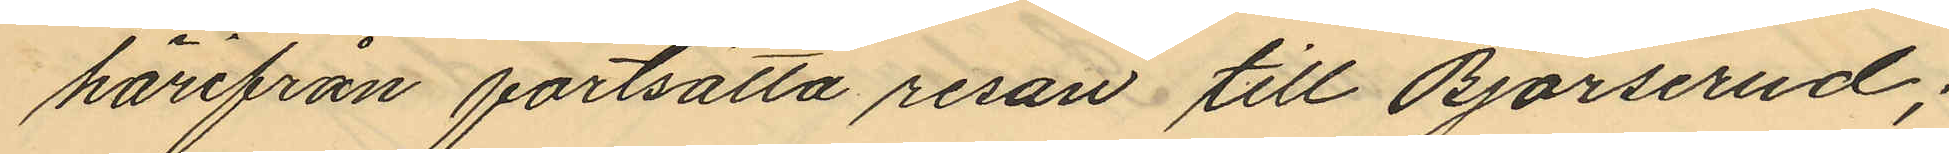härifrån fortsätta resan till Björserud;
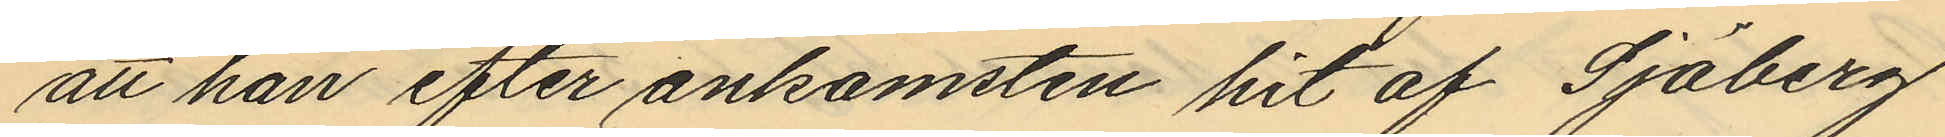att han efter ankomsten hit af Sjöberg
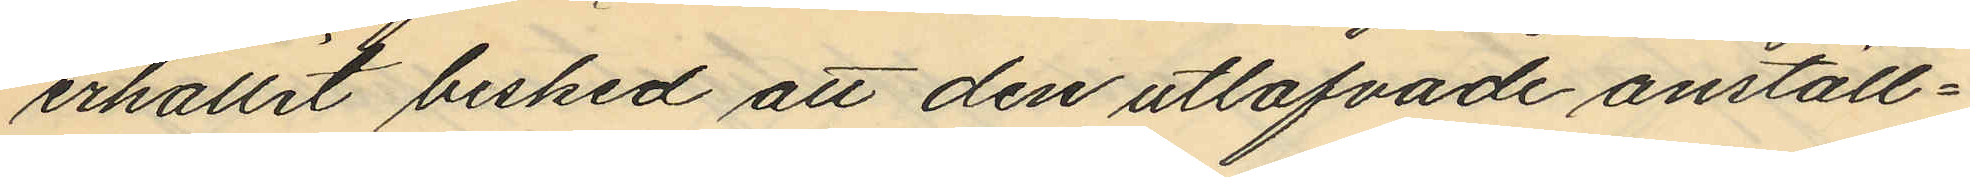erhållit besked att den utlofvade anställ¬
